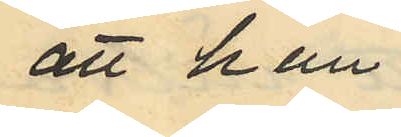att han
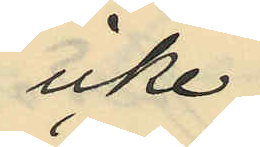icke
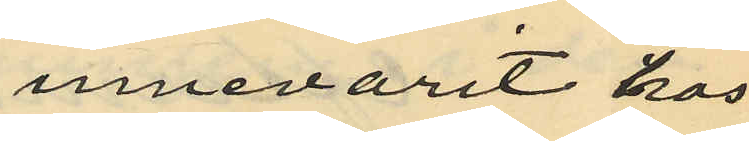innevarit hos
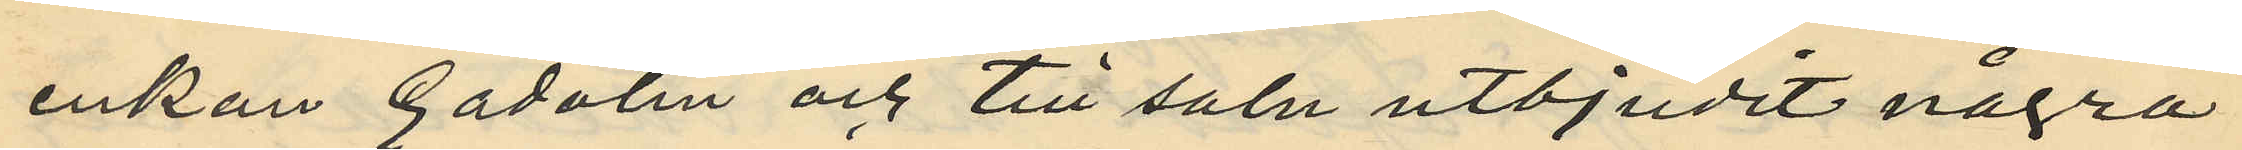enkan Gadolin och till salu utbjudit några
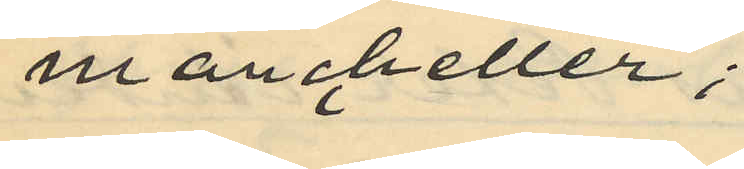manchetter;
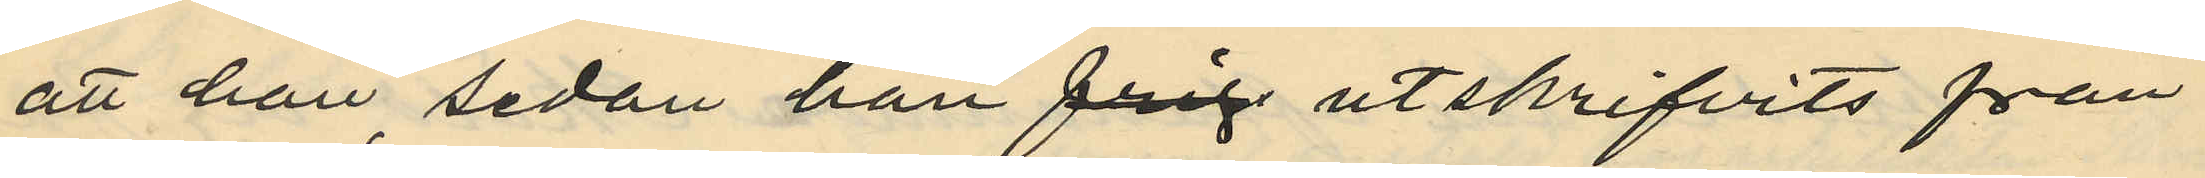att han sedan han utskrifvits från
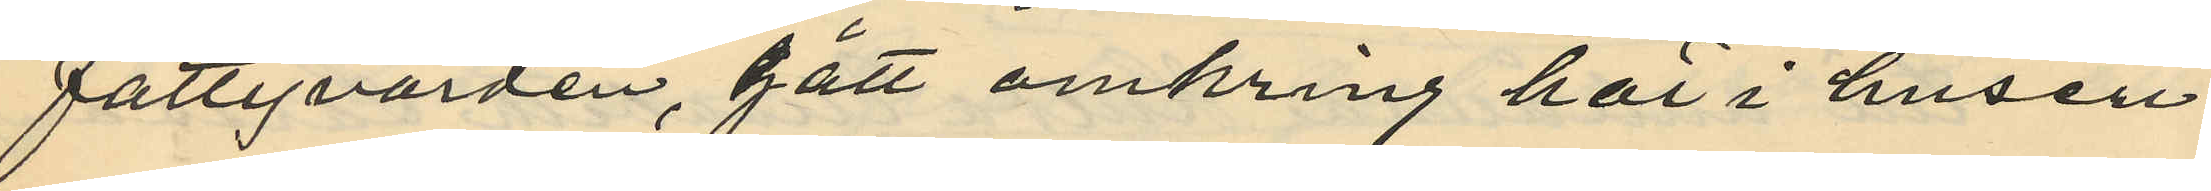fattigvården, gått omkring här i husen
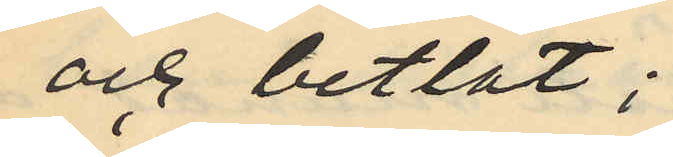och betlat;
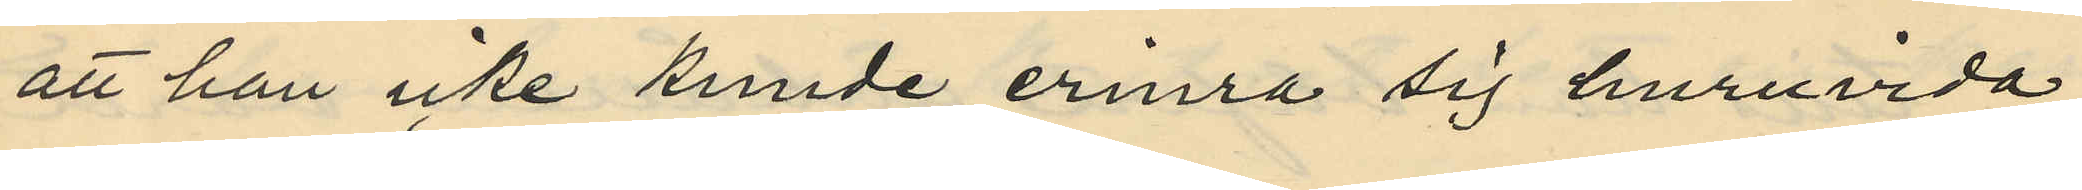att han icke kunde erinra sig huruvida
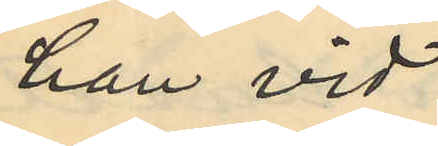han vid
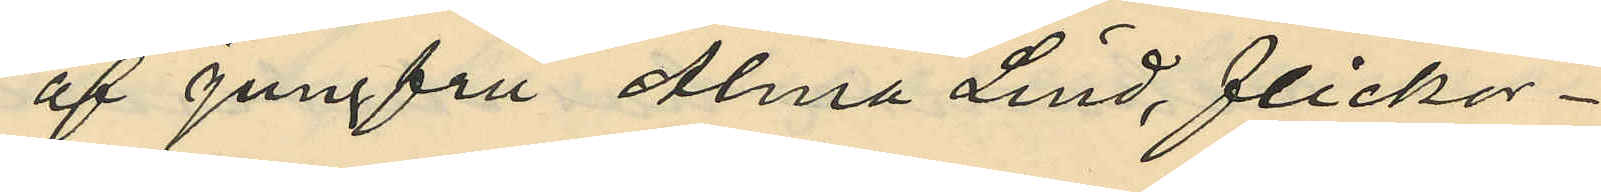af Jungfru Alma Lind, flickor¬
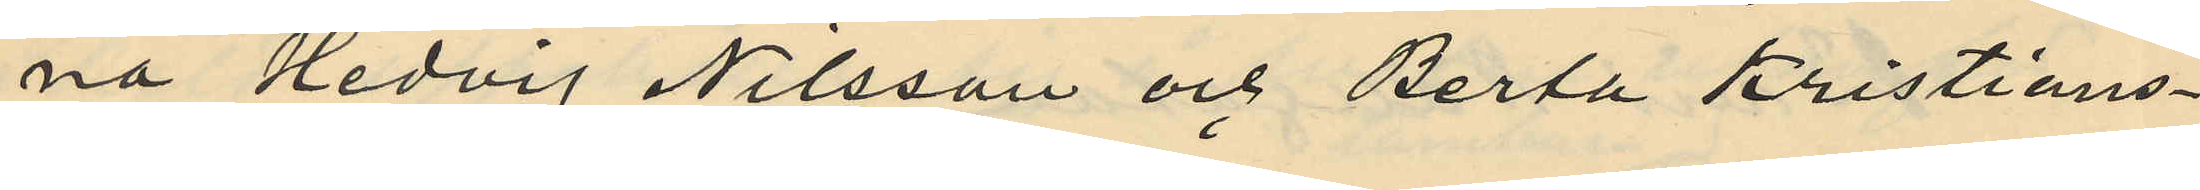na Hedvig Nilsson och Berta Kristians¬
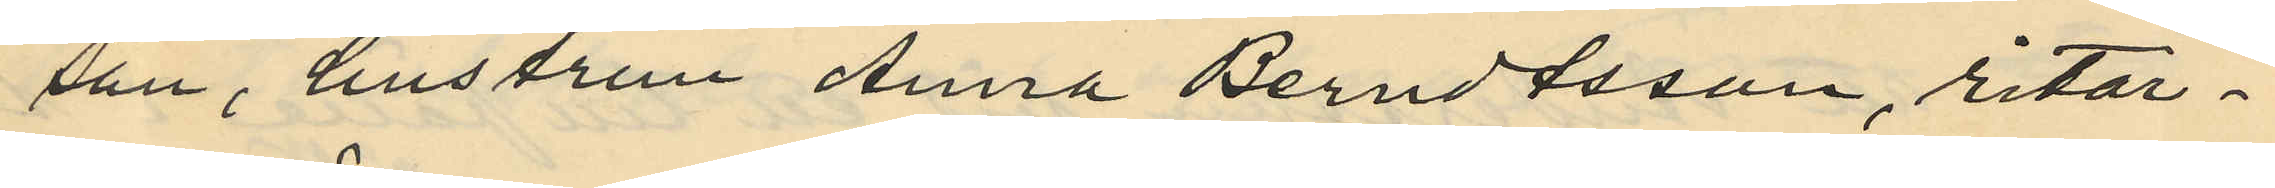son, hustrun Anna Berndtsson, ritar¬
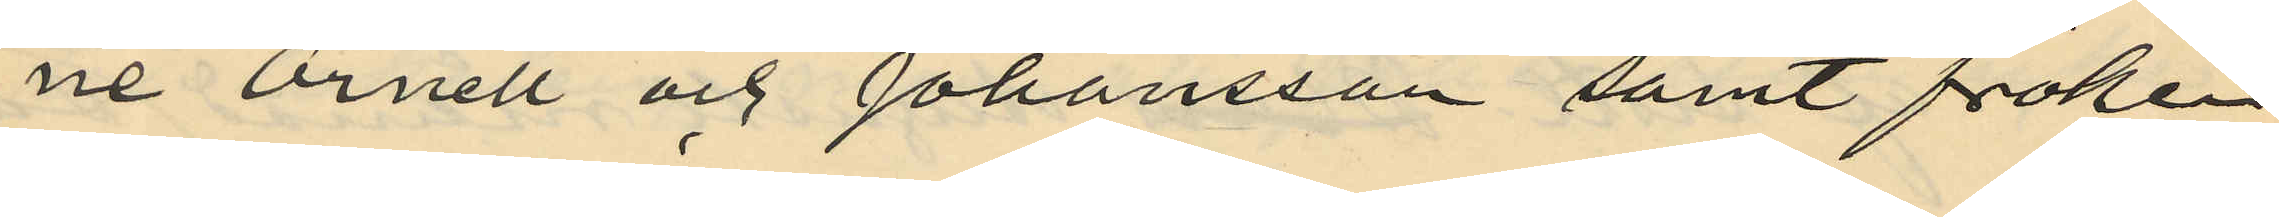ne Örnell och Johansson samt fröken
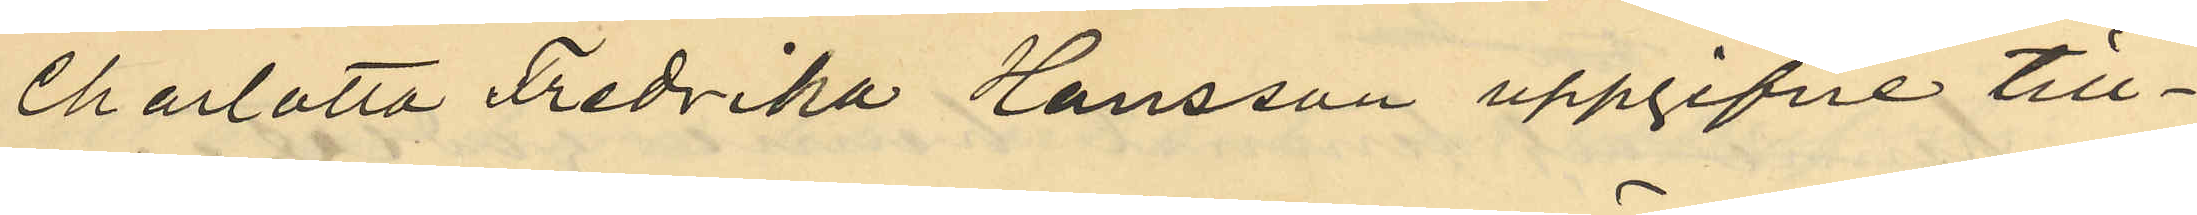Charlotta Fredrika Hansson uppgifne till¬
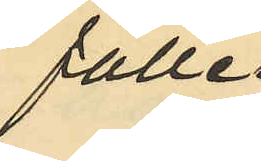fälle
